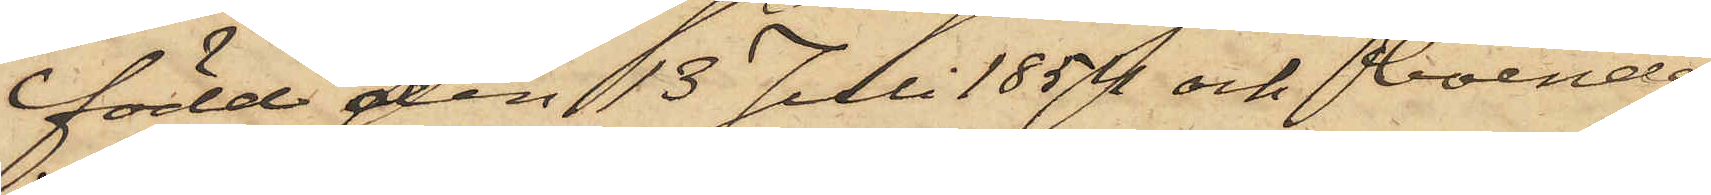född den 13 Juli 1854 och boende
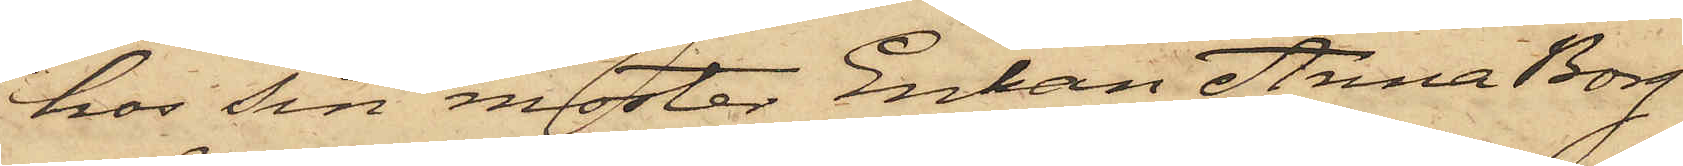hos sin moster Enkan Anna Borg
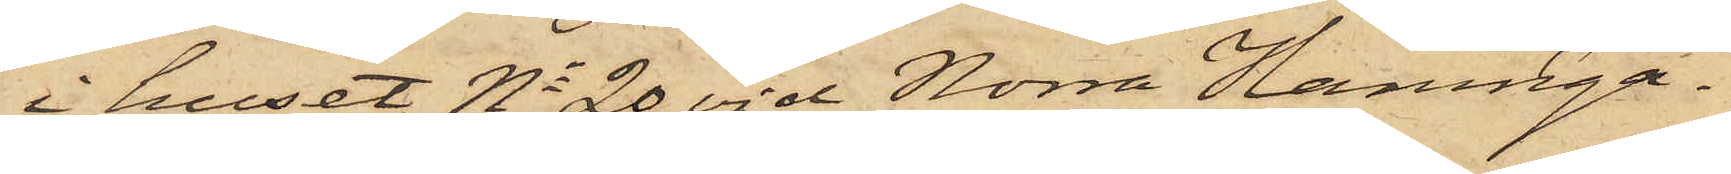i huset No 20 vid Norra Hamnga¬
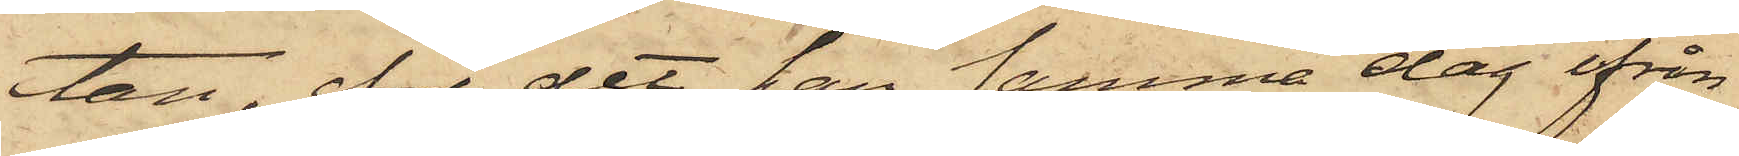tan, för det han samma dag ifrån
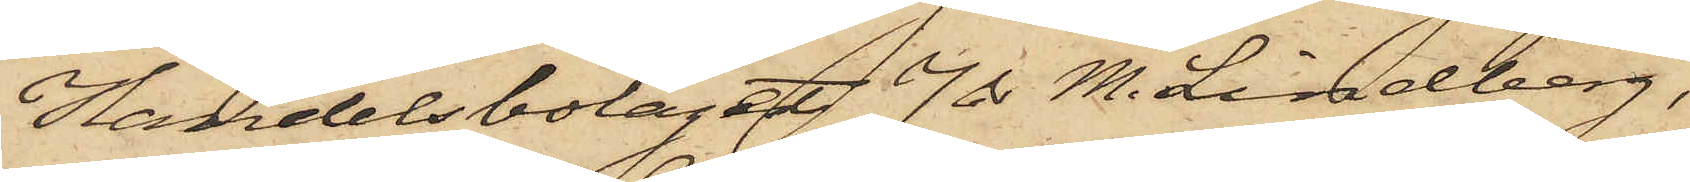Handelsbolaget J & M. Lindberg,
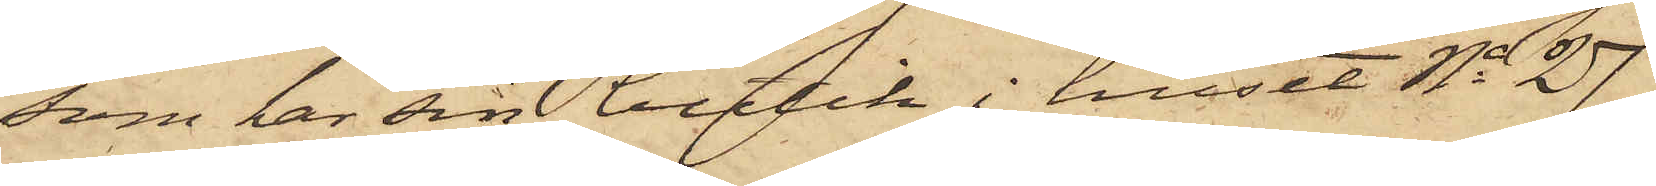som har sin butik i huset No 27
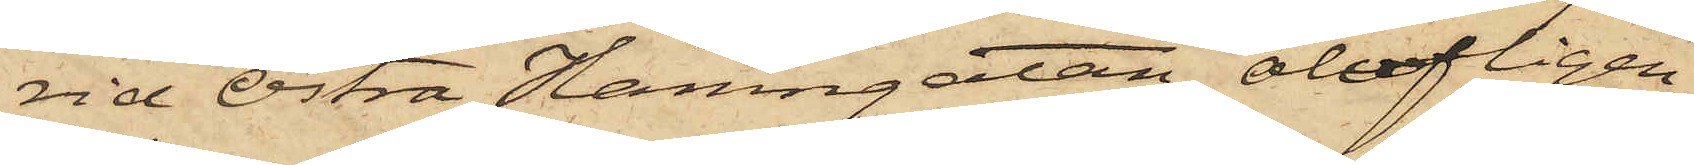vid Östra Hamngatan, olofligen
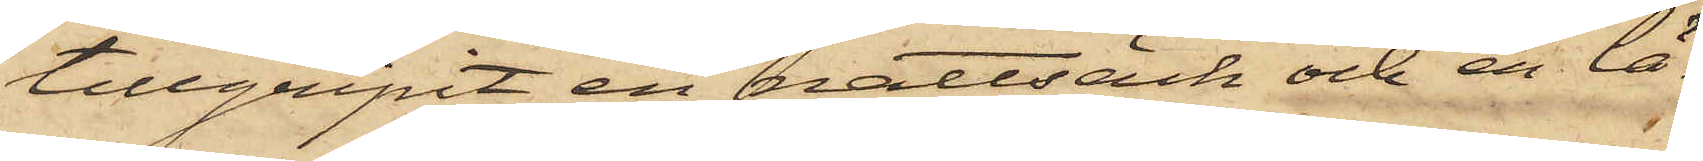tillgripit en nattsäck och en lä¬
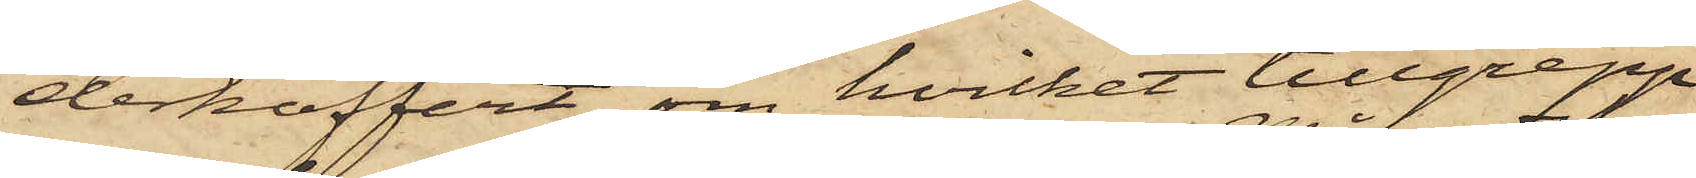derkoffert, om hvilket tillgrepp
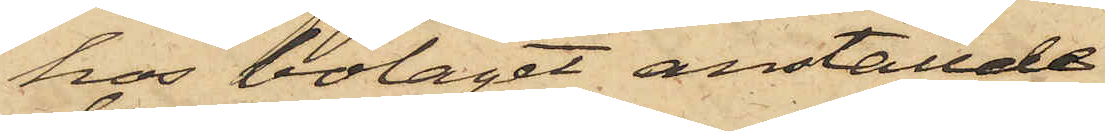hos bolaget anställde
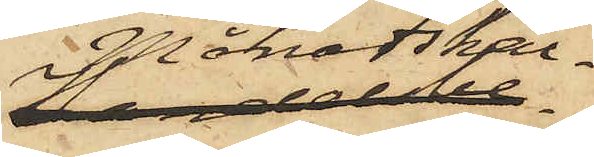Månadskar¬
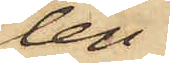len
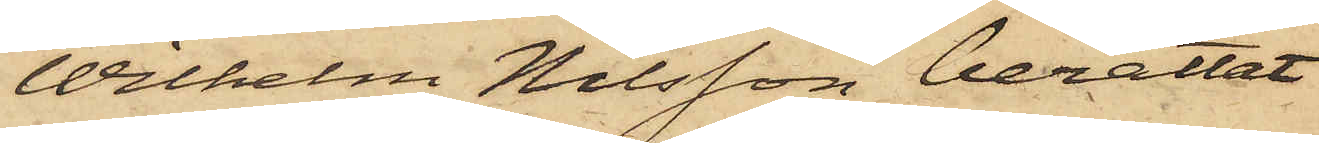Wilhelm Nilsson berättat
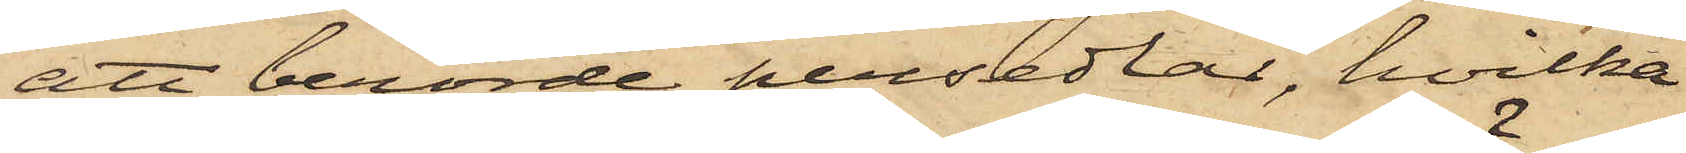att berörde persedlar, hvilka
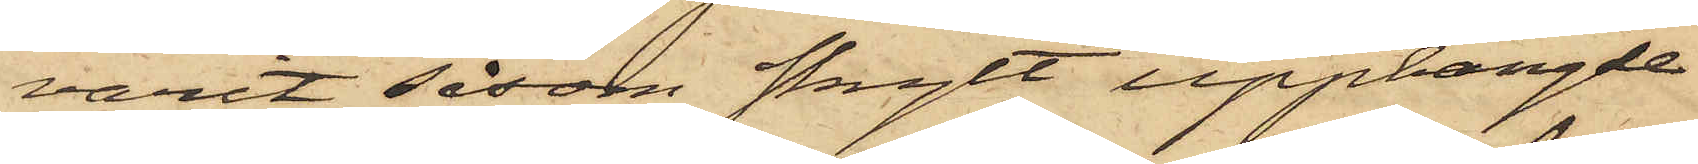varit såsom skylt upphängde
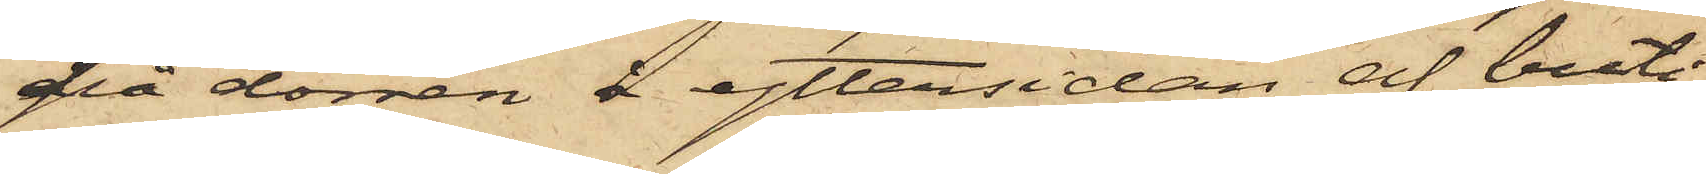på dörren å yttersidan af buti¬
